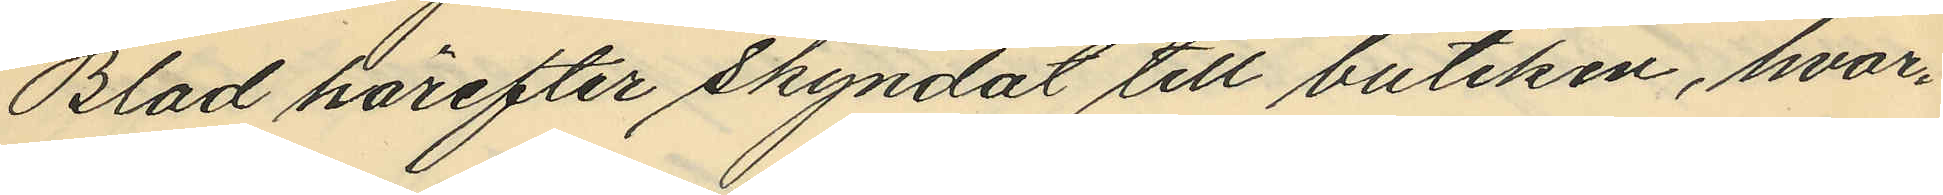Blad härefter skyndat till butiken, hvar¬
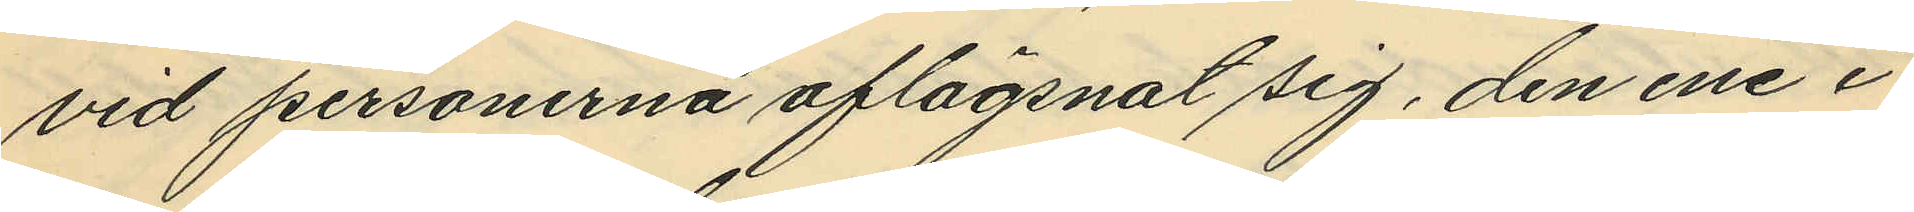vid personerna aflägsnat sig, den ene i
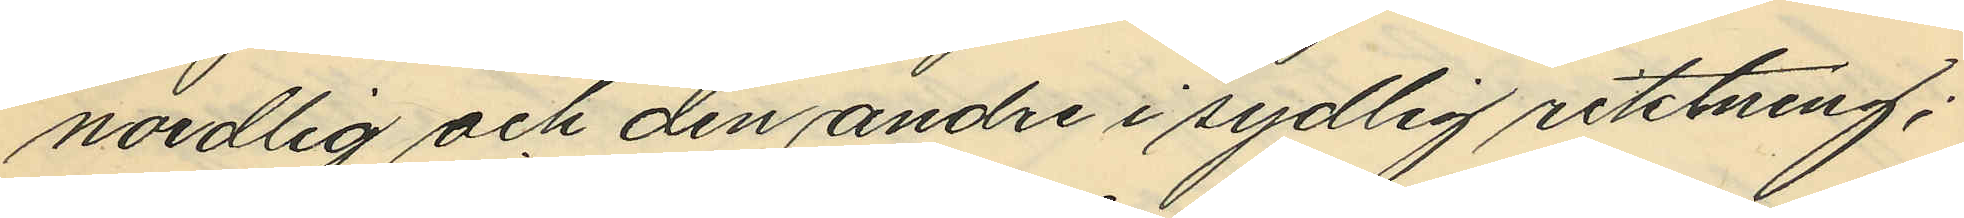nordlig och den andre i sydlig riktning;
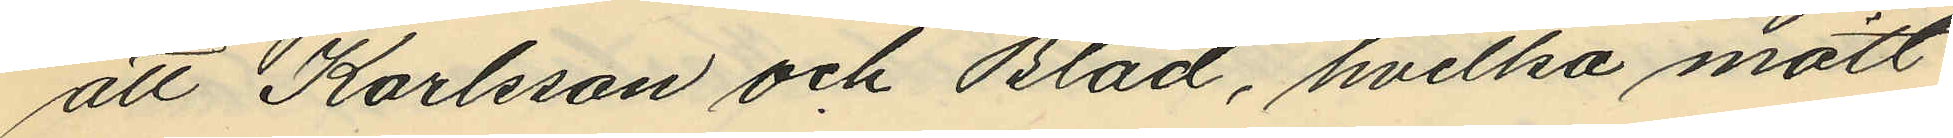att Karlsson och Blad, hvilka mött
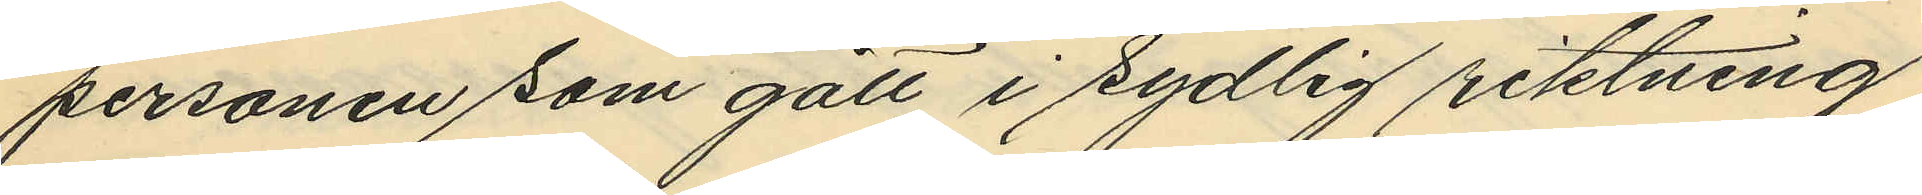personen som gått i sydlig riktning
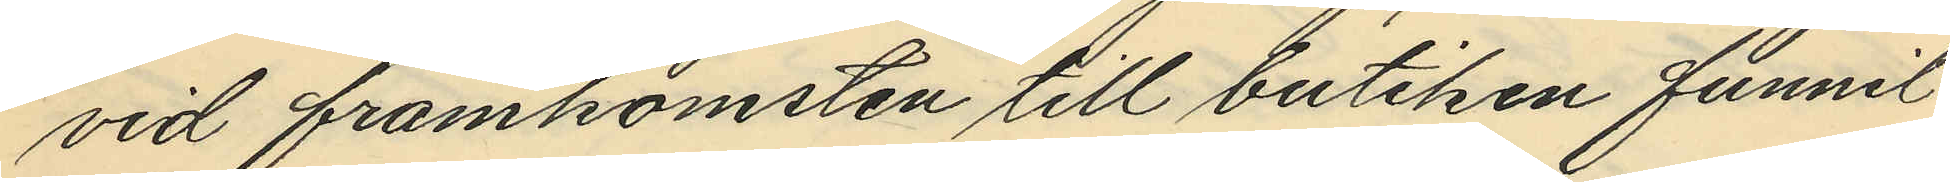vid framkomsten till butiken funnit
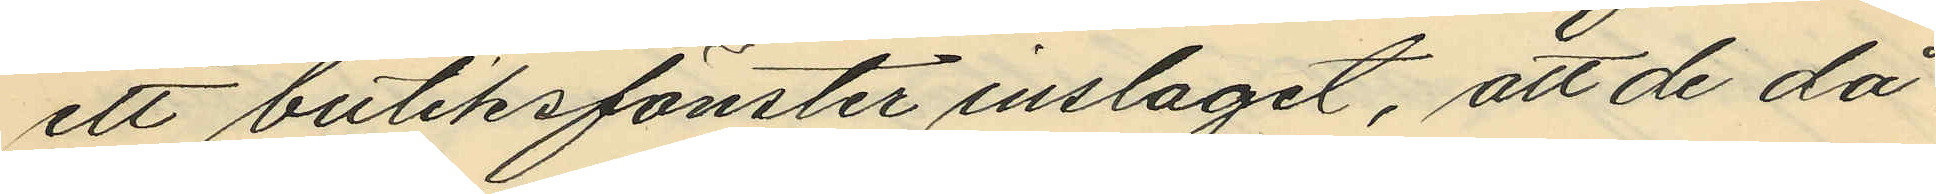ett butiksfönster inslagit, att de då
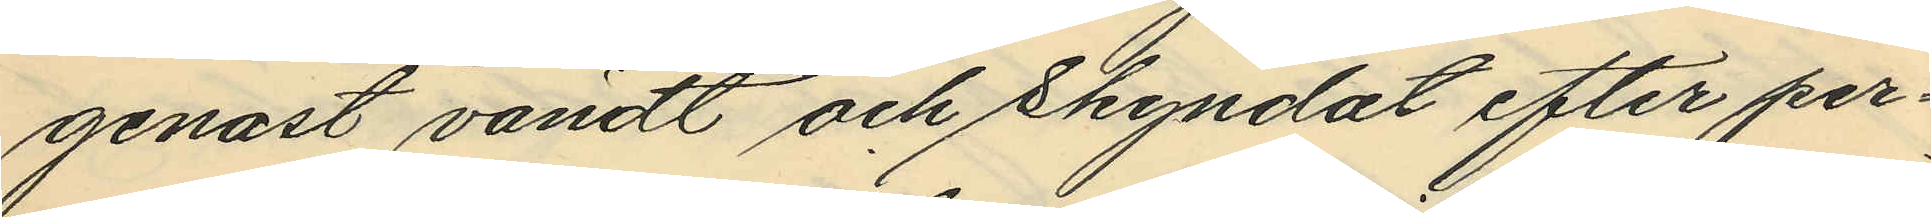genast vändt och skyndat efter per¬
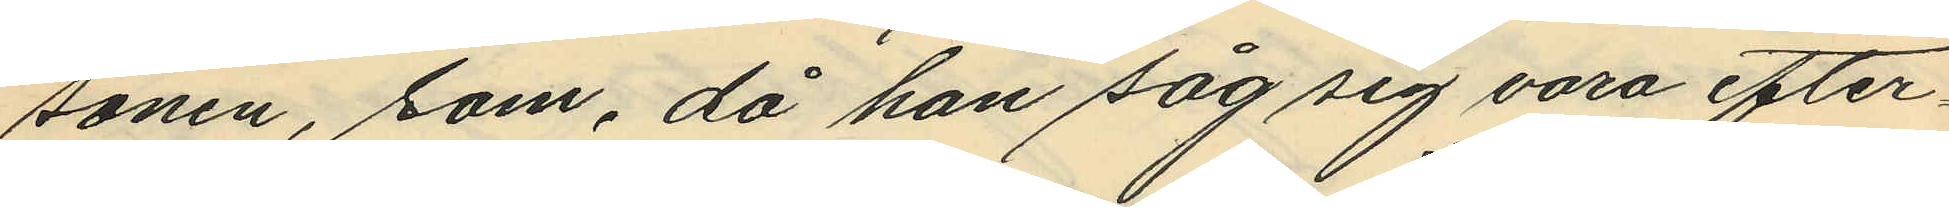sonen, som, då han såg sig vara efter¬
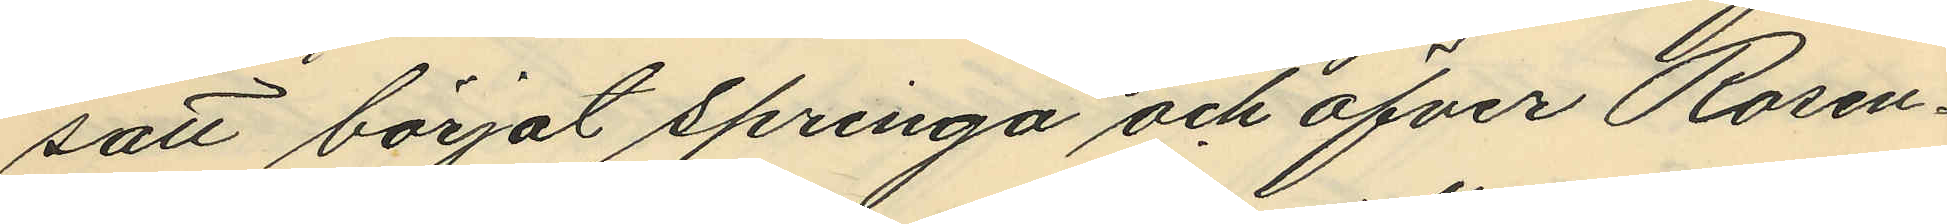satt börjat springa och öfver Rosen¬
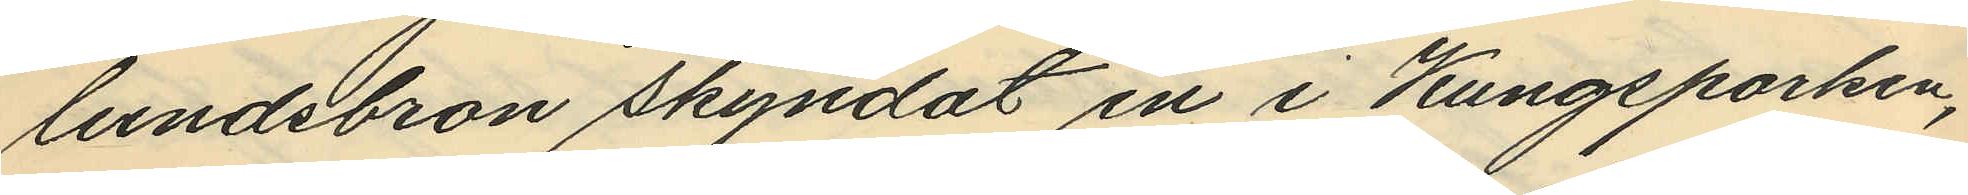lundsbron skyndat en i Kungsparken,
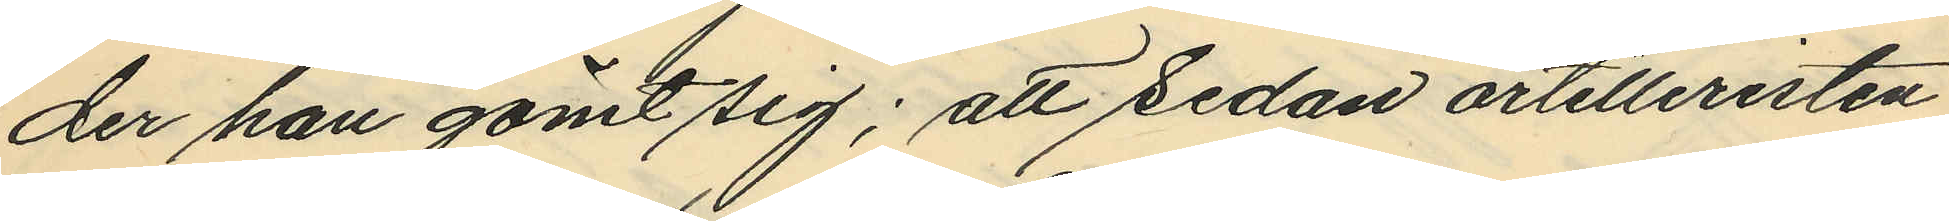der han gömt sig; att sedan artilleristen
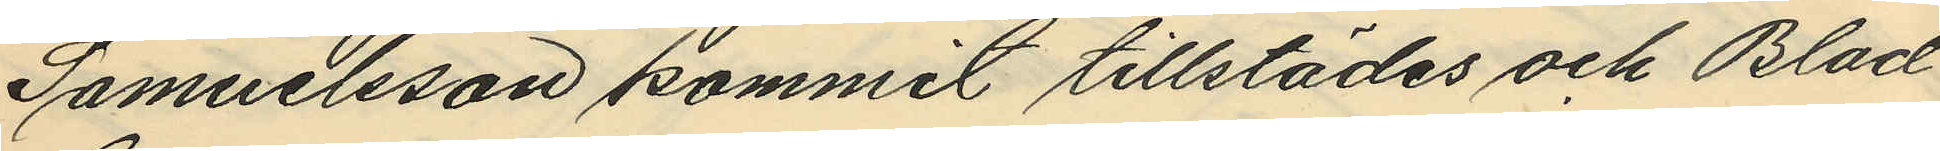Samuelsson kommit tillstädes och Blad
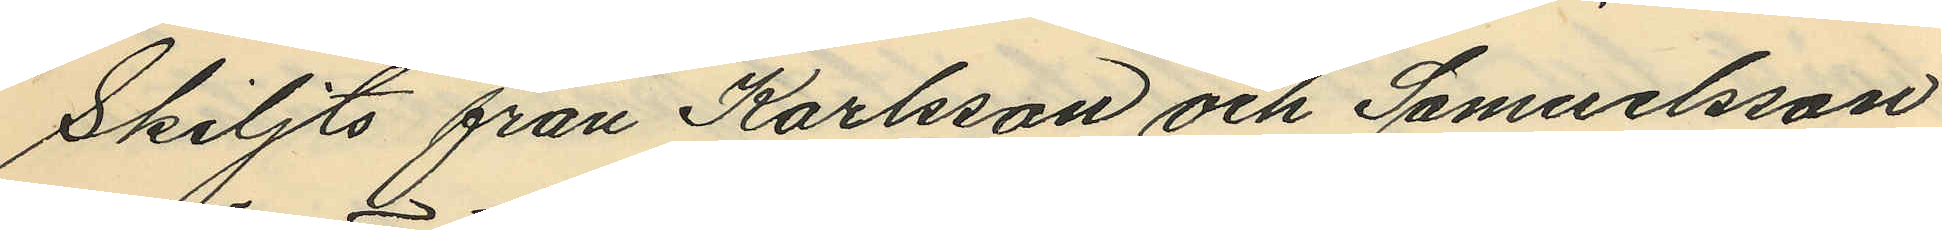skiljts från Karlsson och Samuelsson
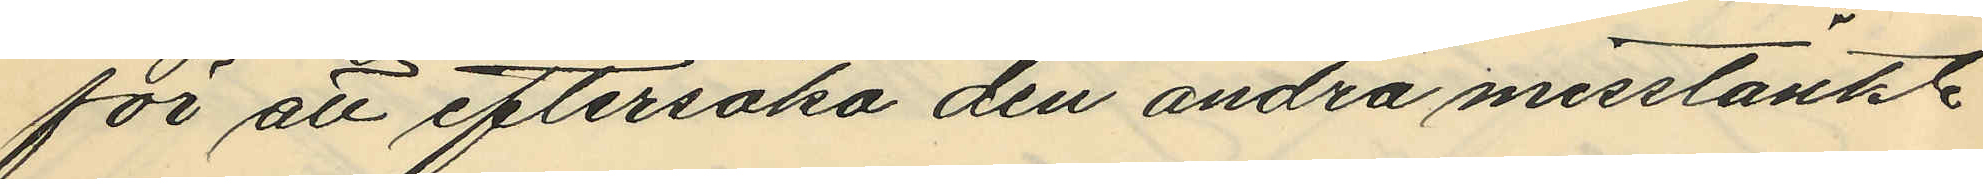för att eftersöka den andra misstänkte
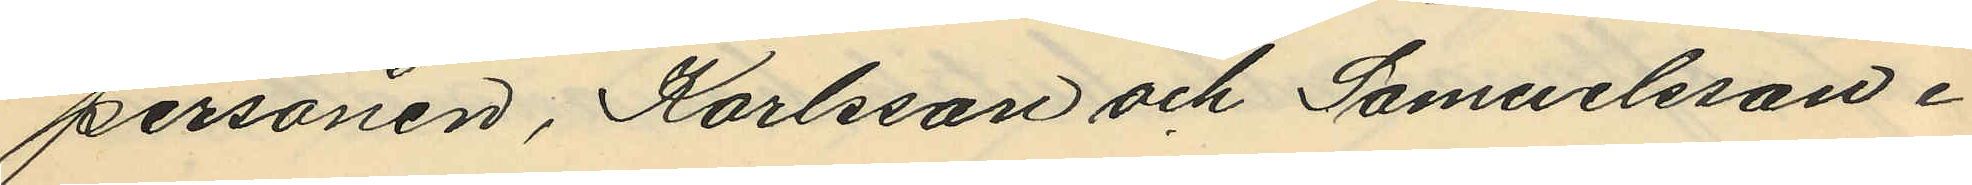personen, Karlsson och Samuelsson i
